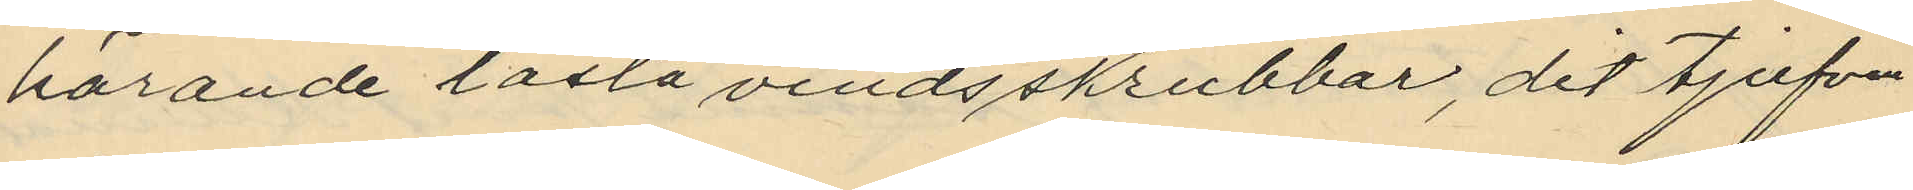hörande låsta vindsskrubbar, dit tjufven
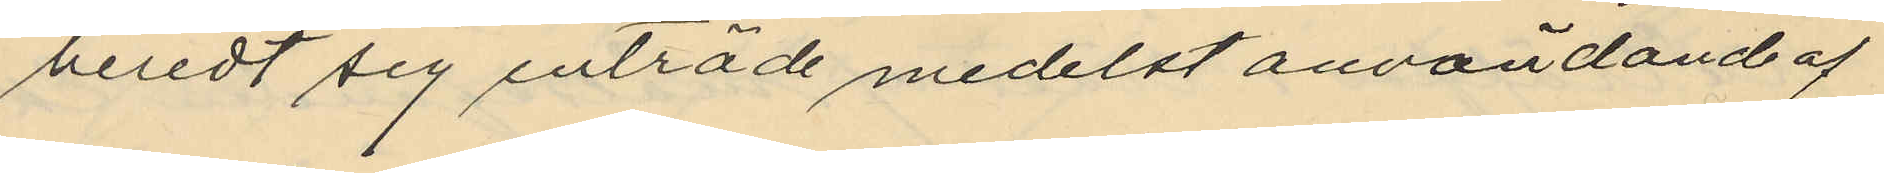beredt sig inträde medelst användande af
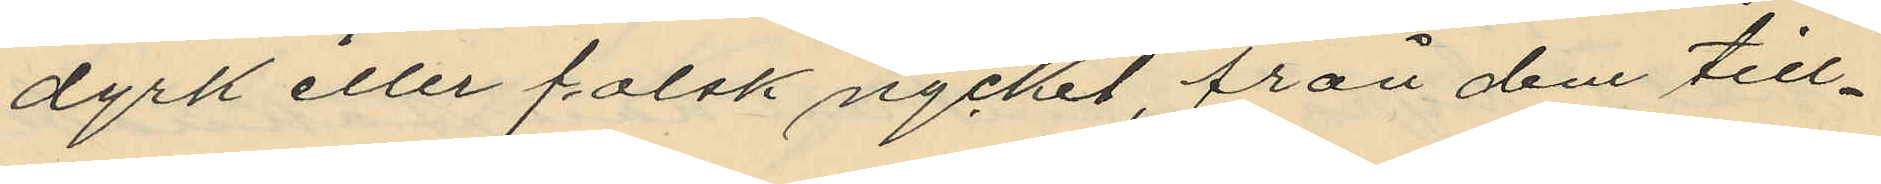dyrk eller falsk nyckel, från dem till¬
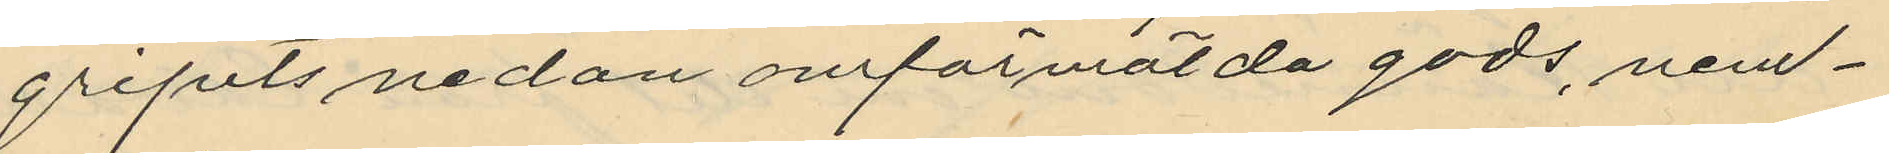gripits nedan omförmälda gods, nem¬
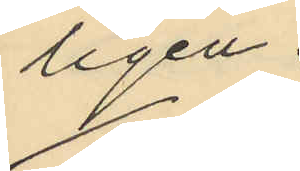ligen
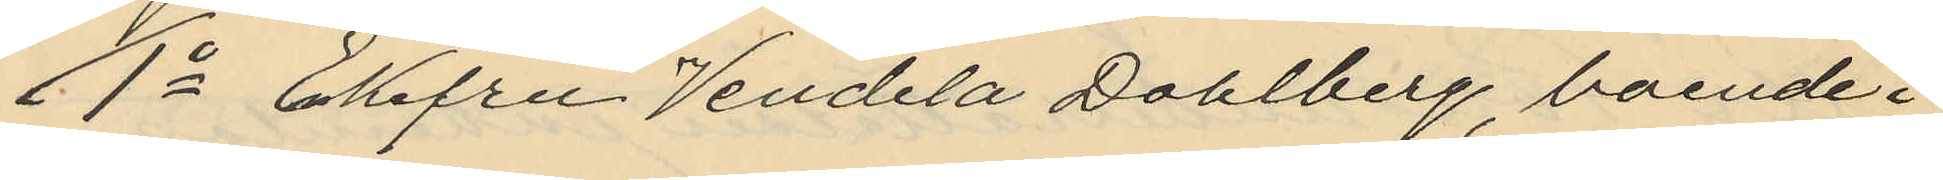1o Enkefru Vendela Dahlberg, boende i
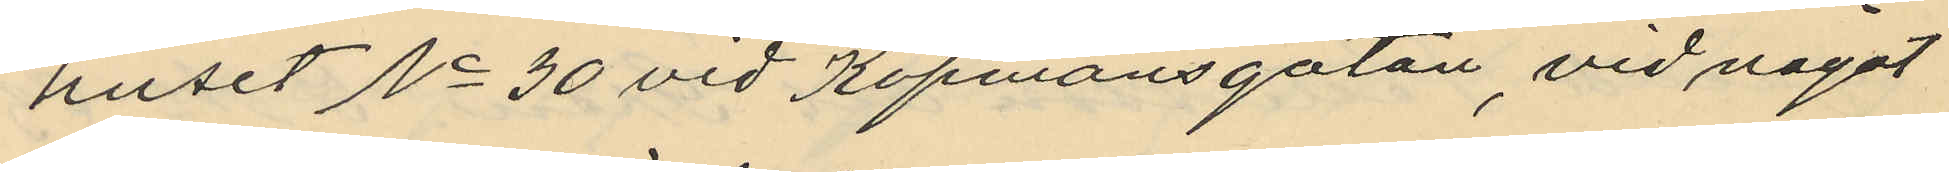huset No 30 vid Köpmansgatan vid något
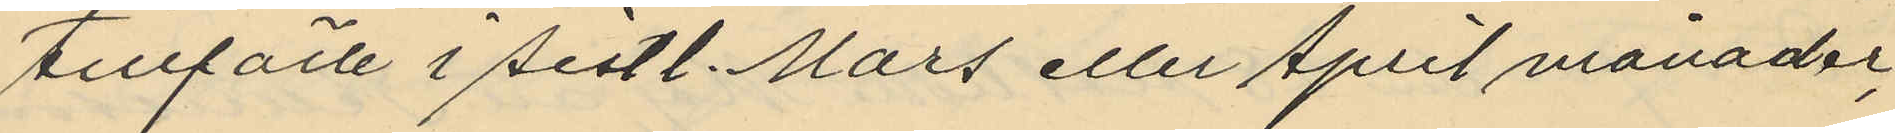tillfälle i sistl. Mars eller April månader,
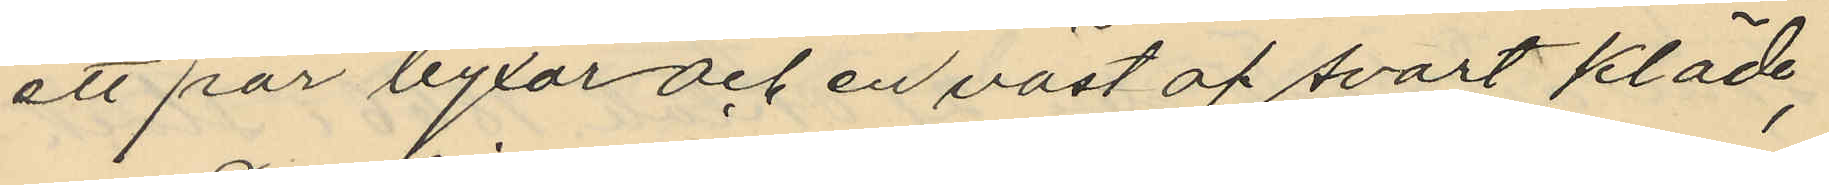ett par byxor och en väst af svart kläde,
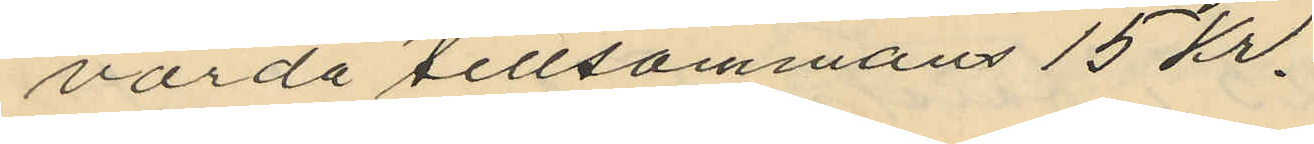värda tillsammans 15 kr.
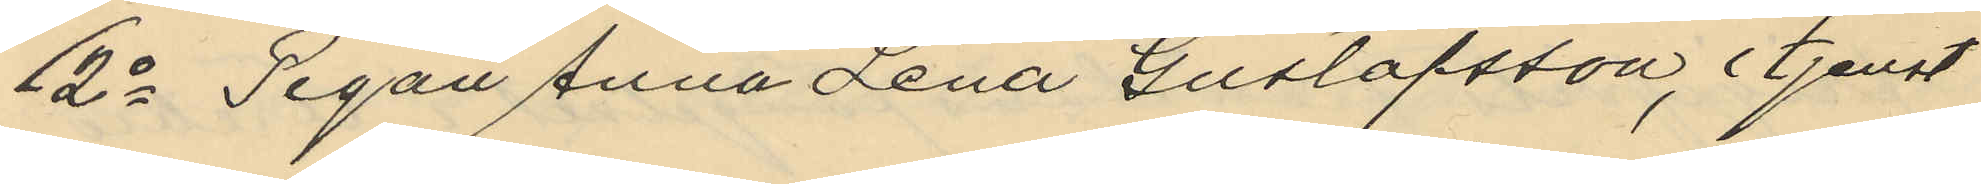2o Pigan Anna Lena Gustafsson, i tjenst
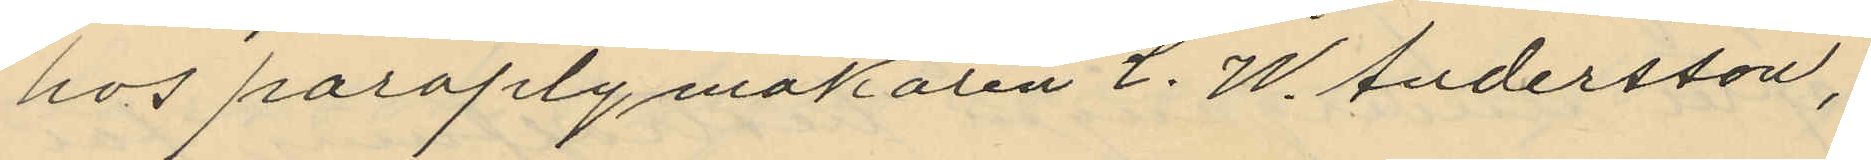hos paraplymakaren C. W. Andersson,
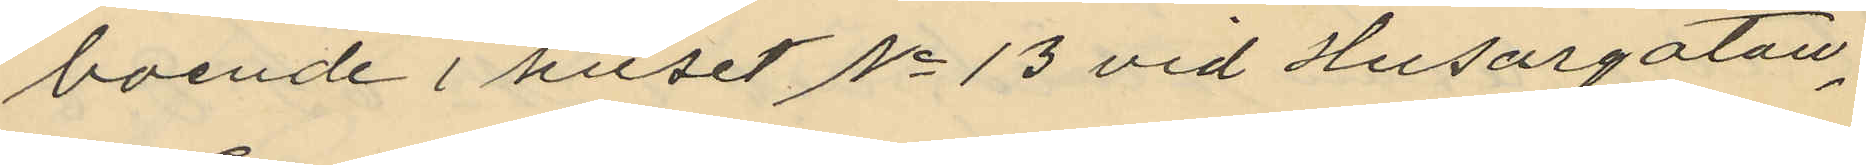boende i huset No 13 vid Husargatan,
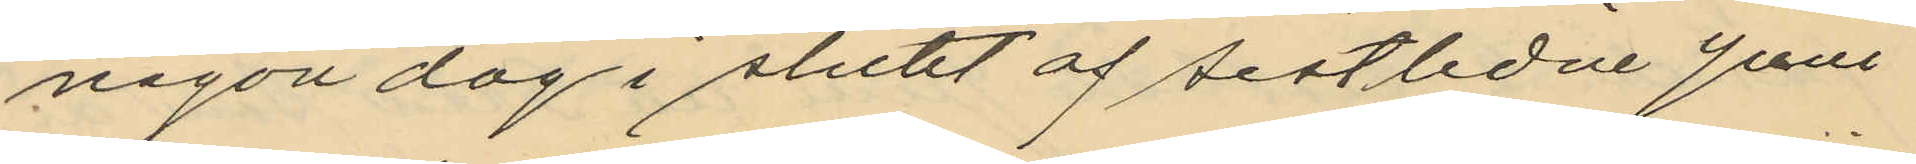någon dag i slutet af sistlidne Juni
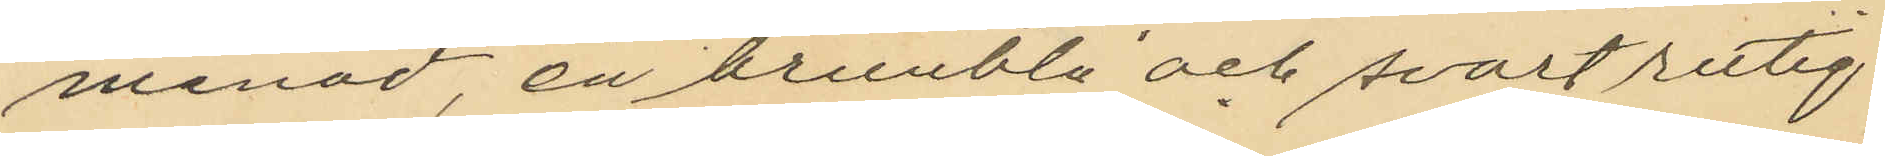månad, en brunblå och svartrutig
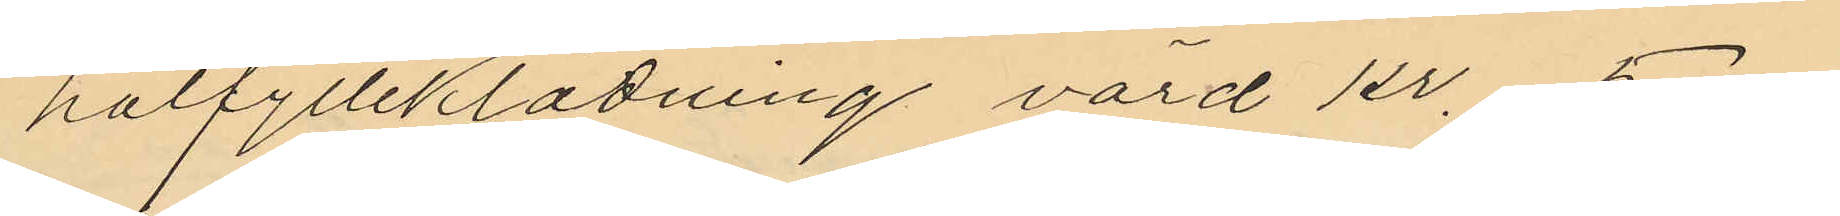halfylleklädning värd kr. 5.00
